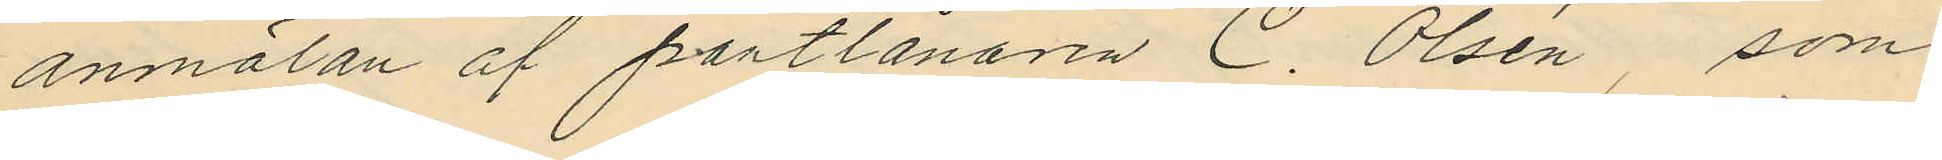anmälan af pantlånaren C. Olsén, som
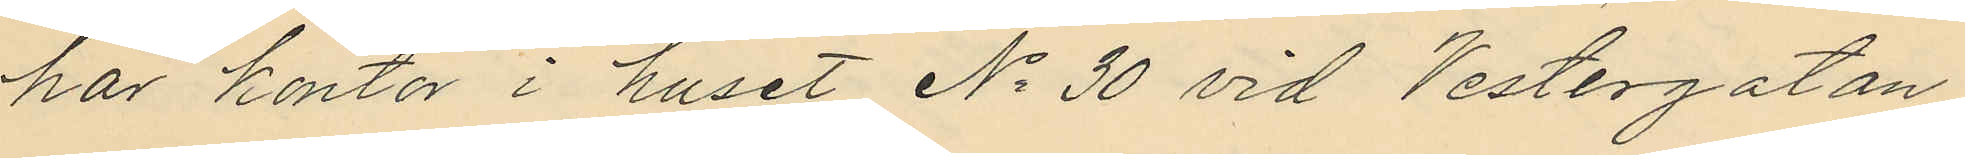har kontor i huset No 30 vid Vestergatan
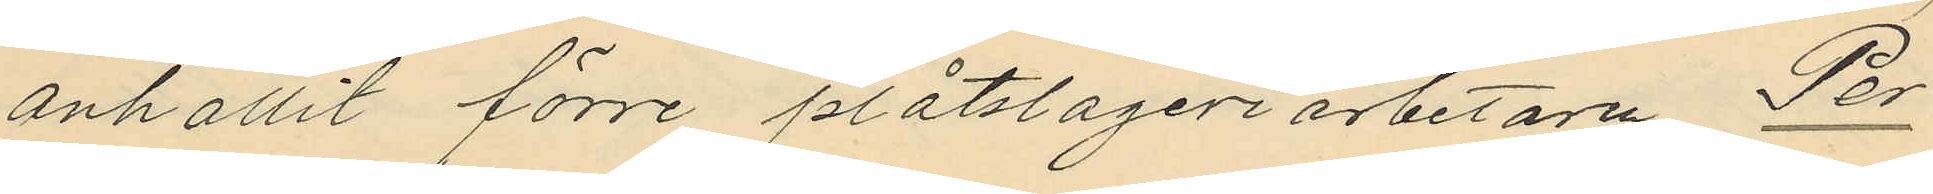anhållit förre plåtslageriarbetaren Per
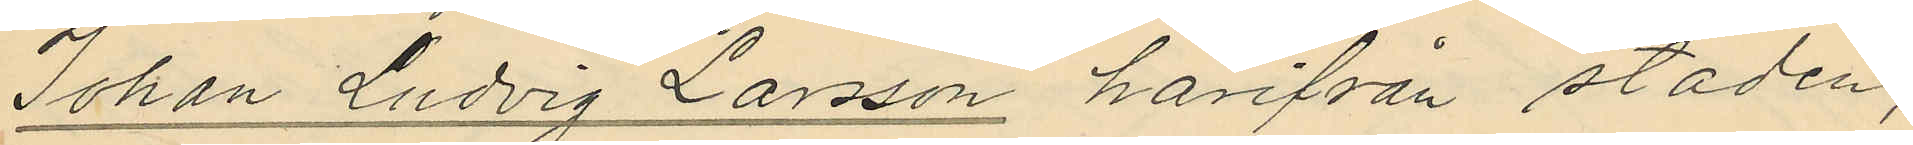Johan Ludvig Larsson härifrån staden,
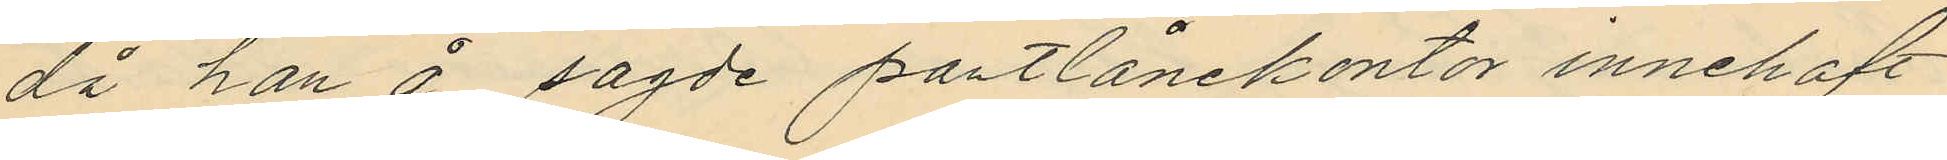då han å sagde pantlånekontor innehaft
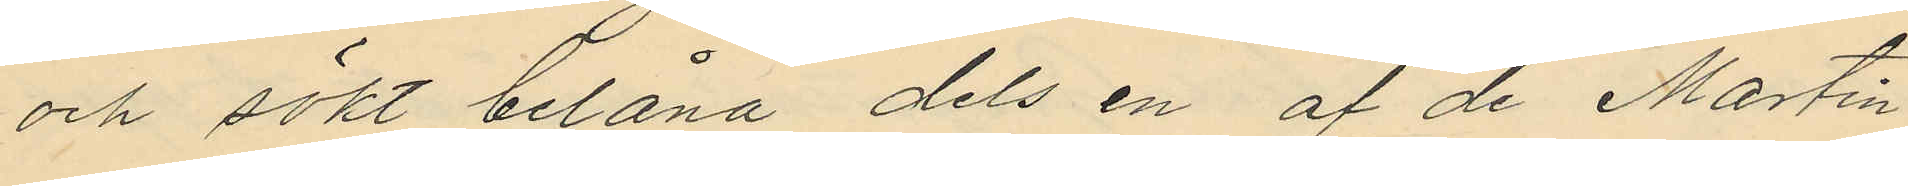och sökt belåna dels en af de Martin
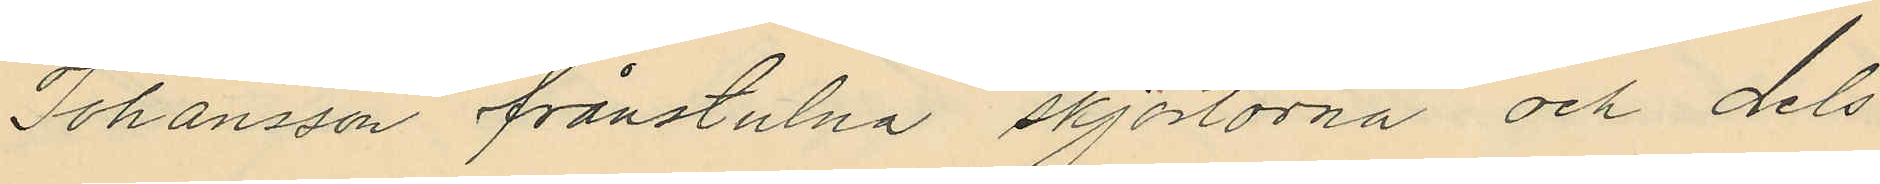Johansson frånstulna skjortorna och dels
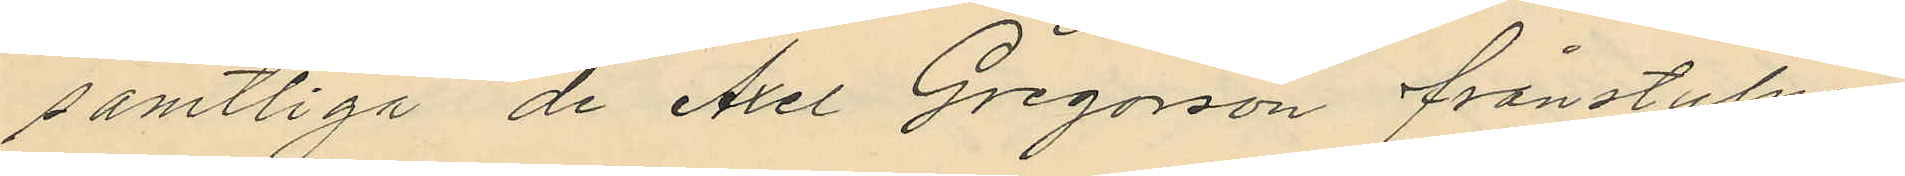samtliga de Axel Gregorson frånstulne
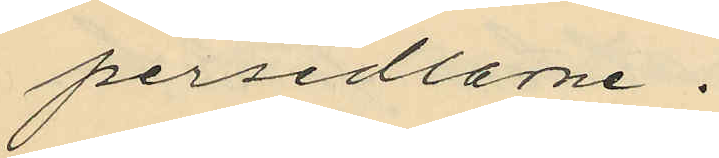persedlarne.
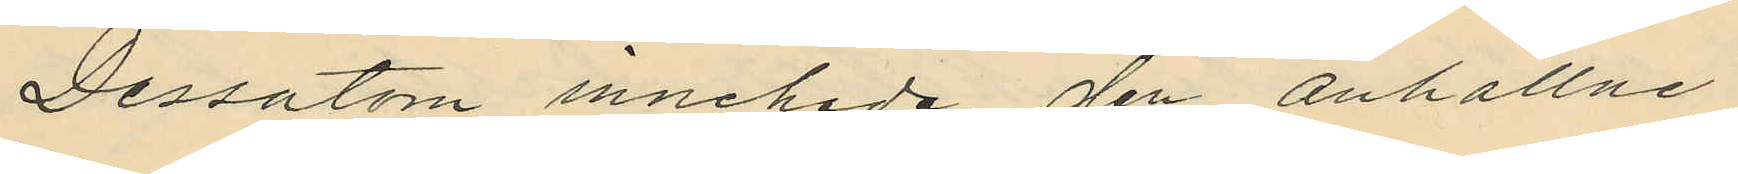Dessutom innehade den anhållne
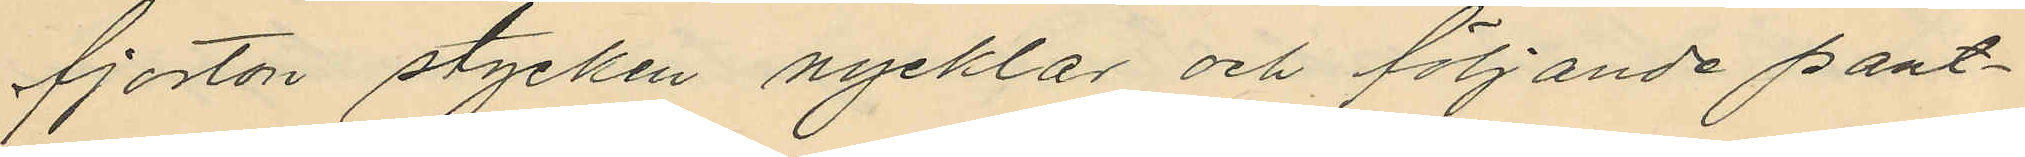fjorton stycken nycklar och följande pant¬
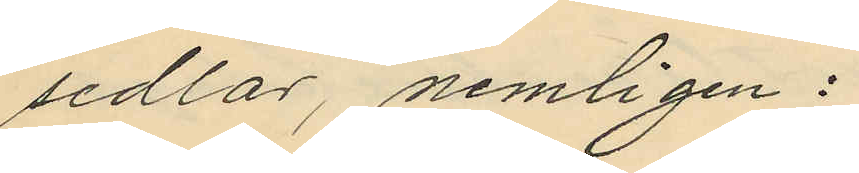sedlar, nemligen:
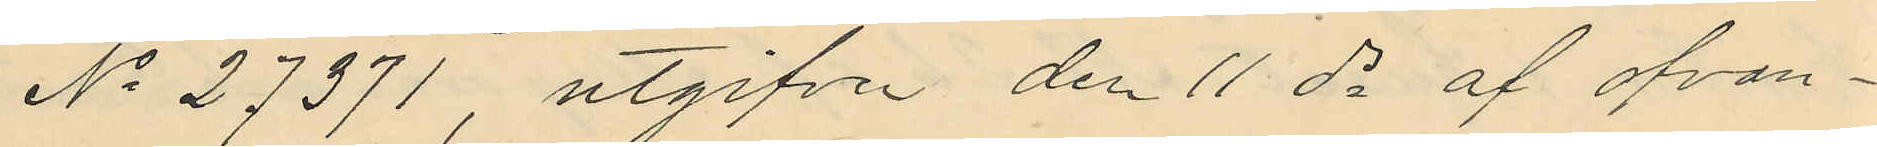No 27371 utgifven den 11 ds af ofvan¬
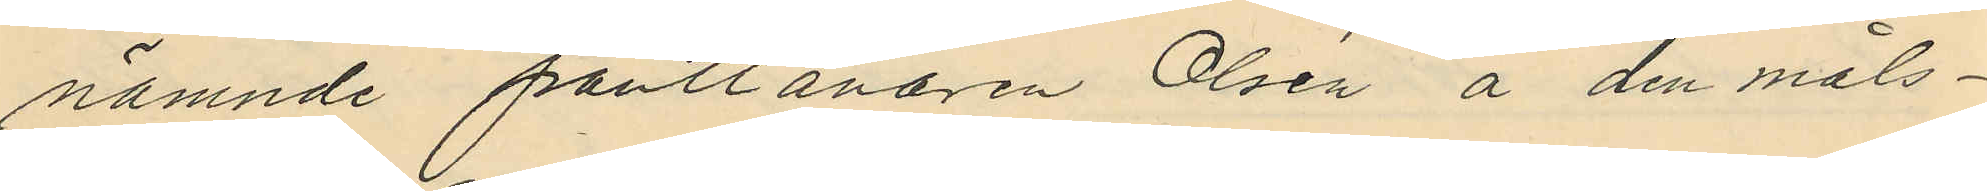nämnde pantlånaren Olsén å den måls¬
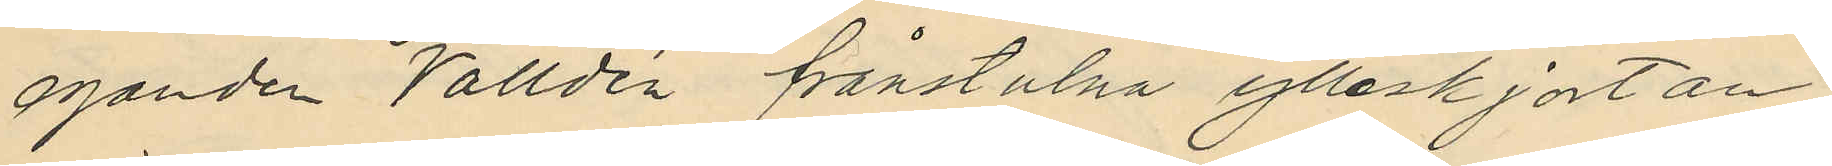eganden Valldén frånstulna ylleskjortan
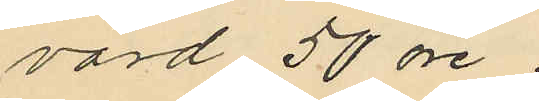värd 50 öre.
